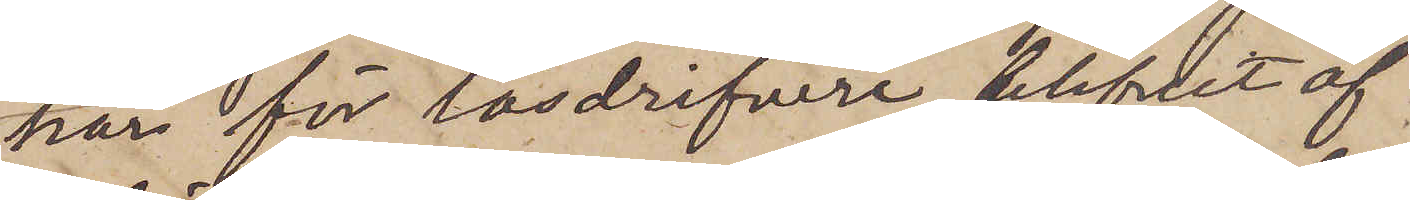har för lösdrifveri blifvit af
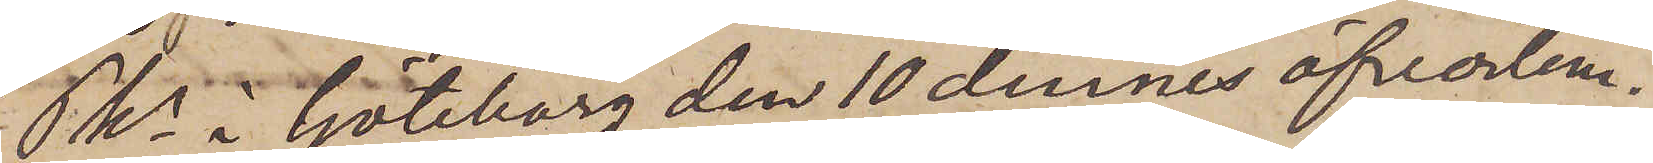Pkn i Göteborg den 10 dennes öfverlem¬
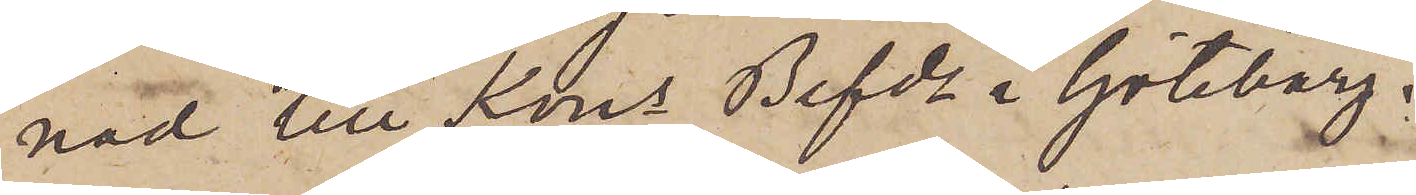nad till Kons Befde i Göteborg.
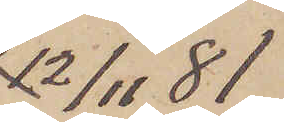12/11  81
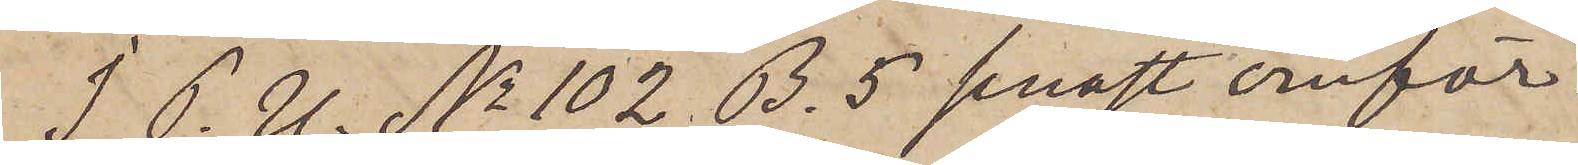I. P. U. No 102. B. 5 senast omför¬
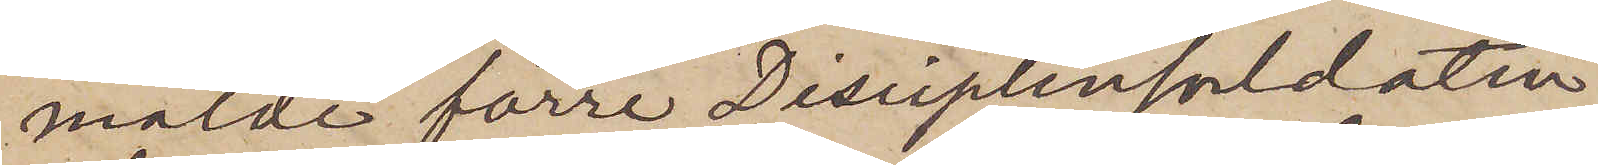mälde förre Disciplinsoldaten
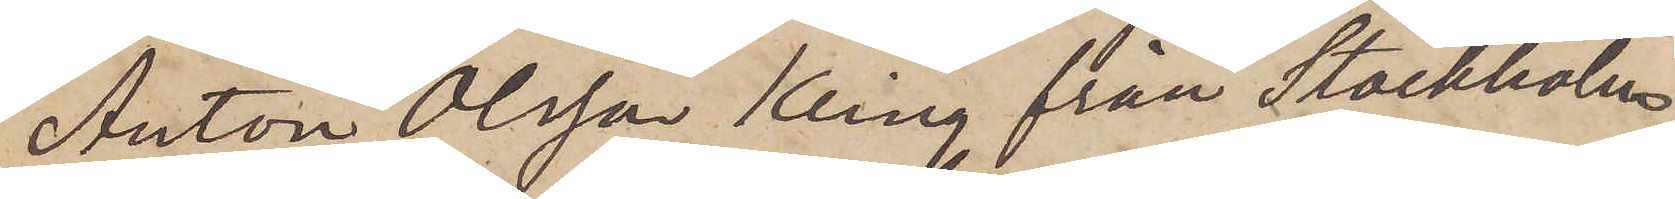Anton Olsson Kling från Stockholm,
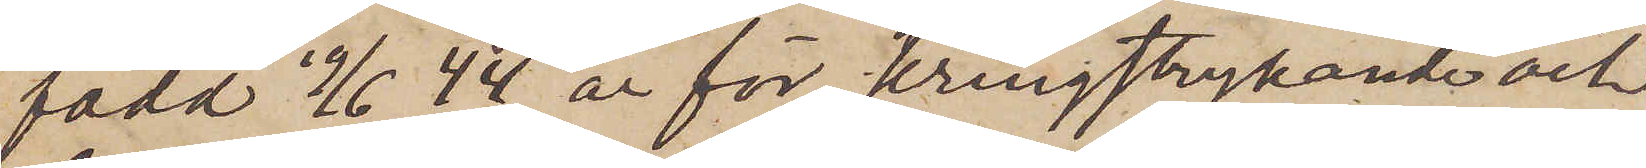född 19/6  44, är för kringstrykande och
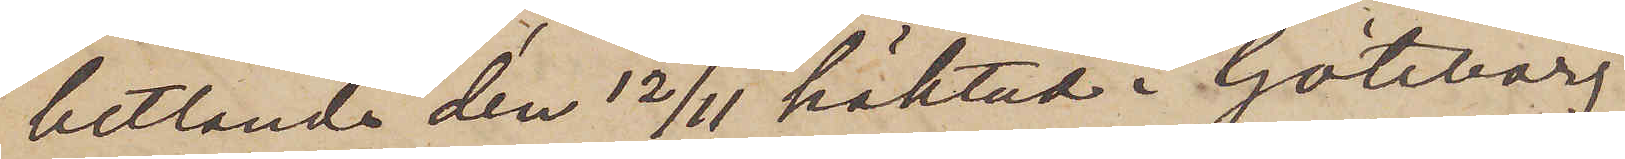bettlande den 12/11 häktad i Göteborg
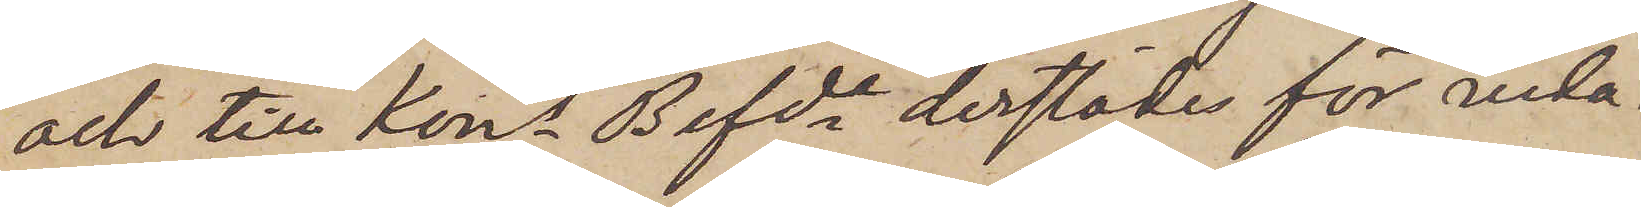och till Kons Befde derstädes för vida¬
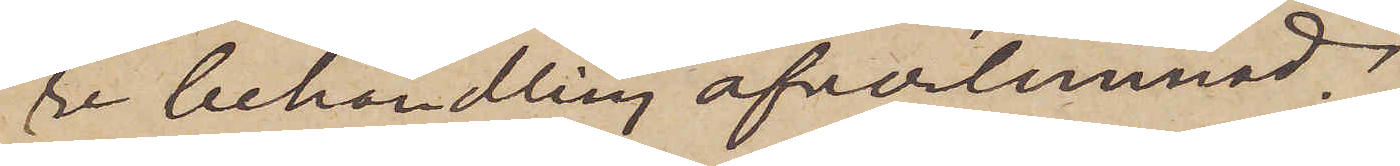re behandling öfverlemnad.
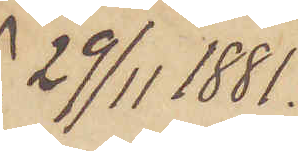29/11 1881.
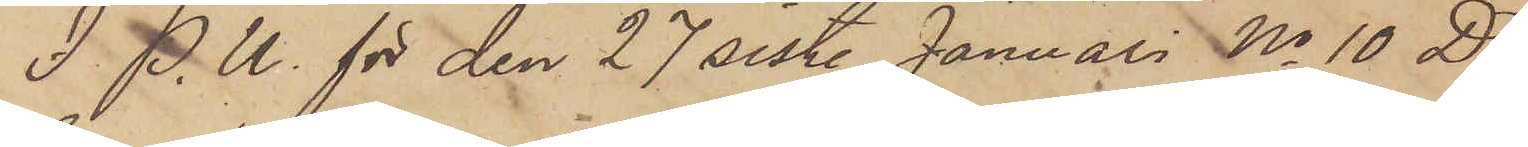I. P. U. för den 27 sist. Januari No 10 D
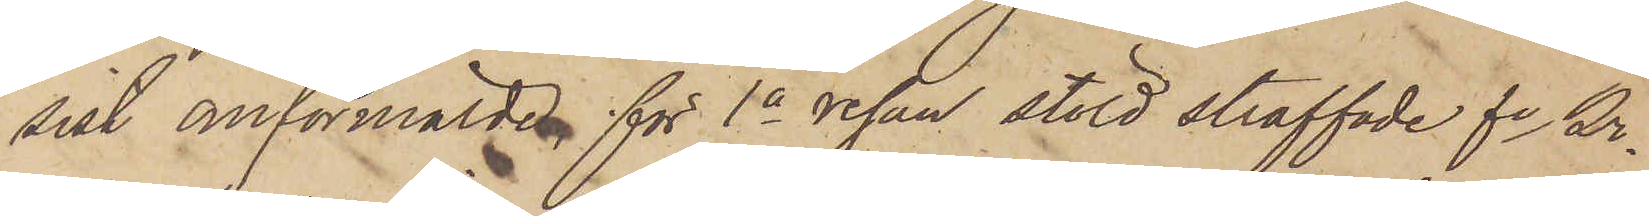sist omförmälde för 1a resan stöld straffade fe Kr.
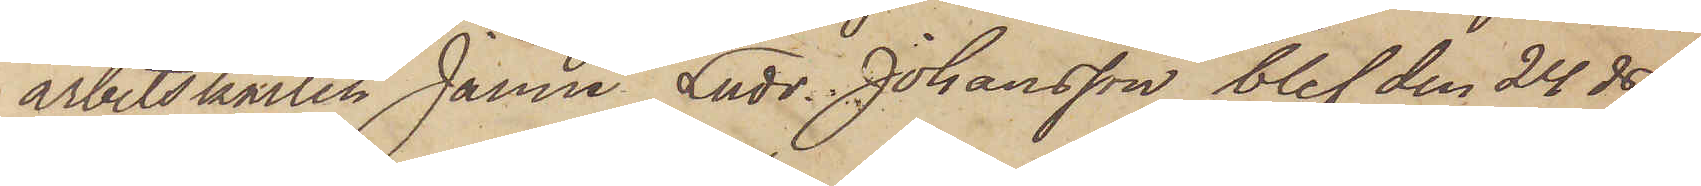arbetskarlen Janne Ludv. Johansson, blef den 24 ds
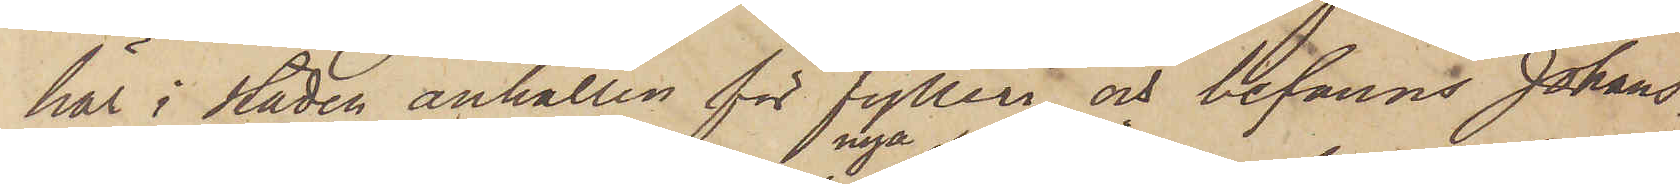här i staden anhållen för fylleri, och befanns Johans¬
